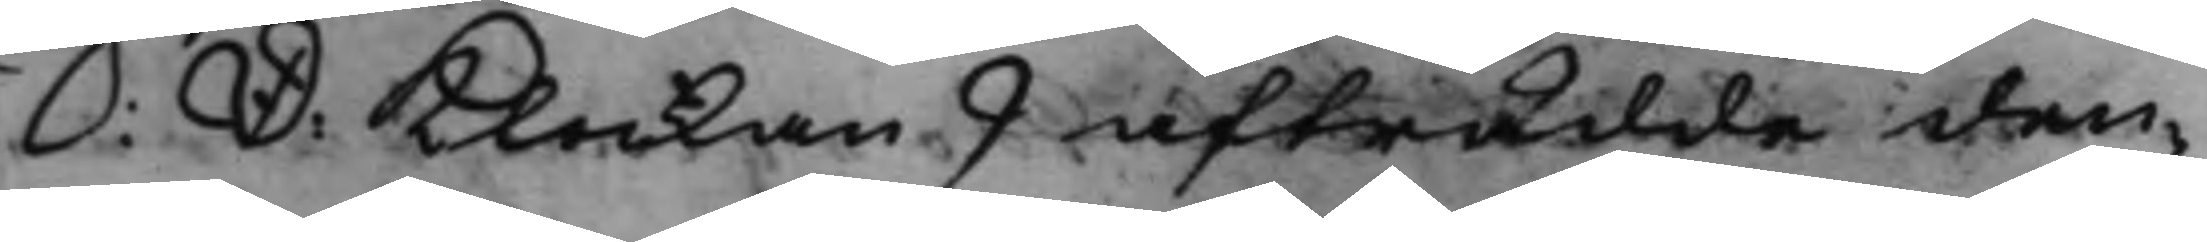S: D: Klockan 9 afträdde den¬
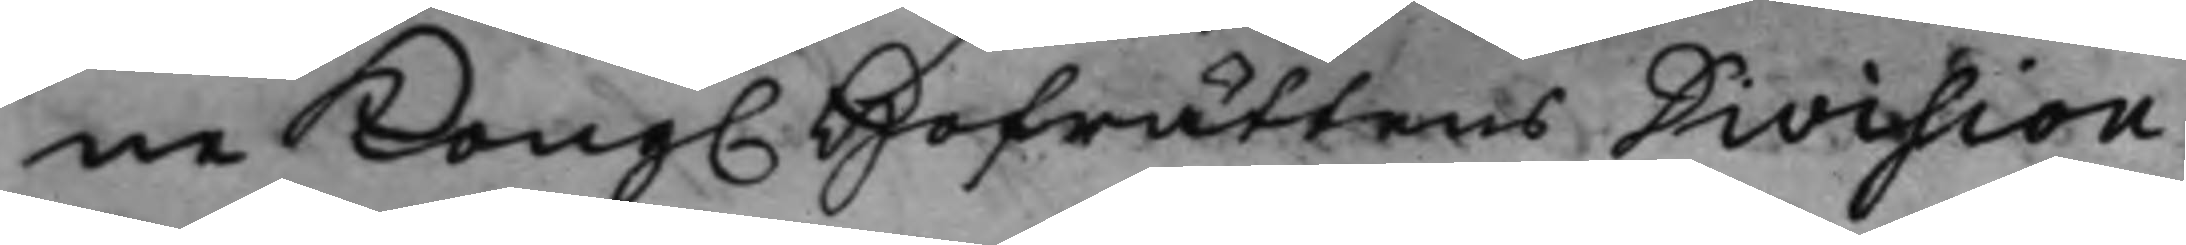ne Kong. Hofrättens Division
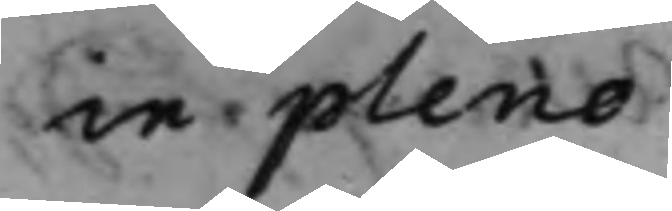in pleno.
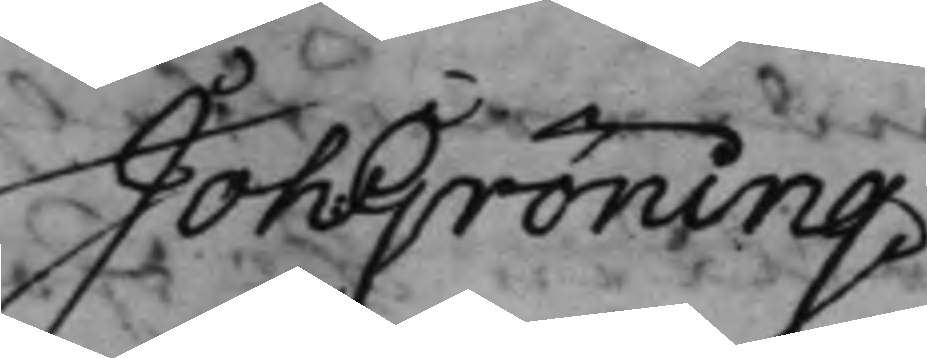Joh: Gröning.
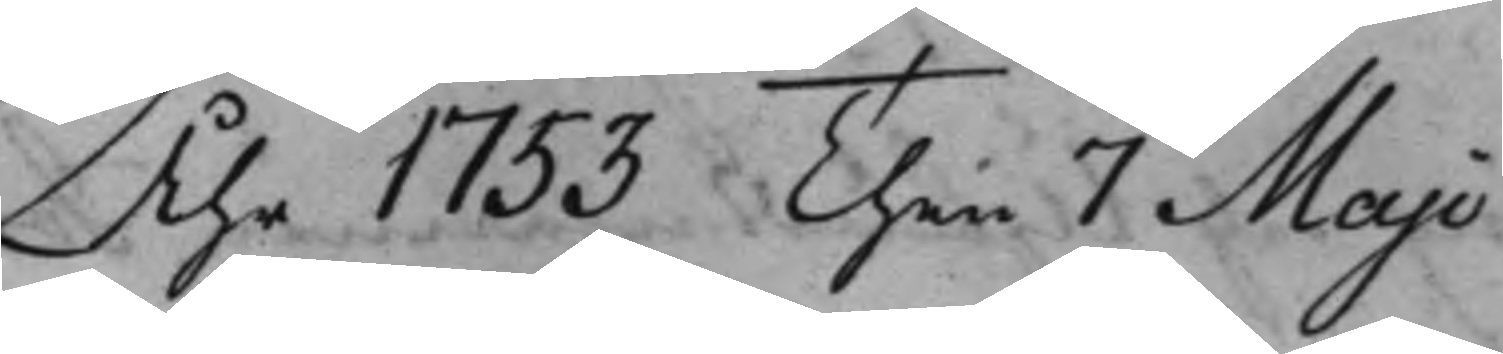Åhr 1753 Then 7 Maji
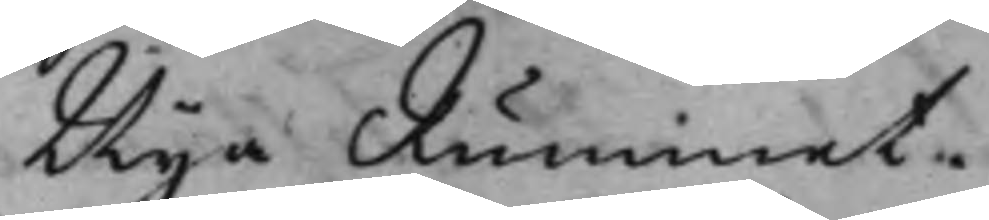Nya Rummet.
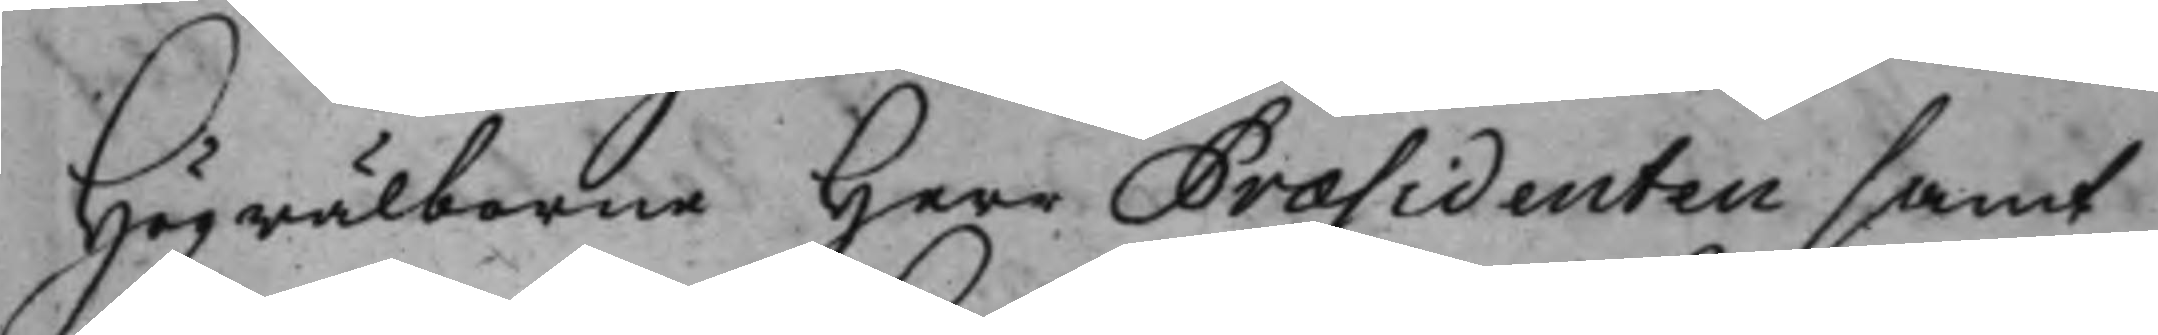Högwälborne Herr Præsidenten samt
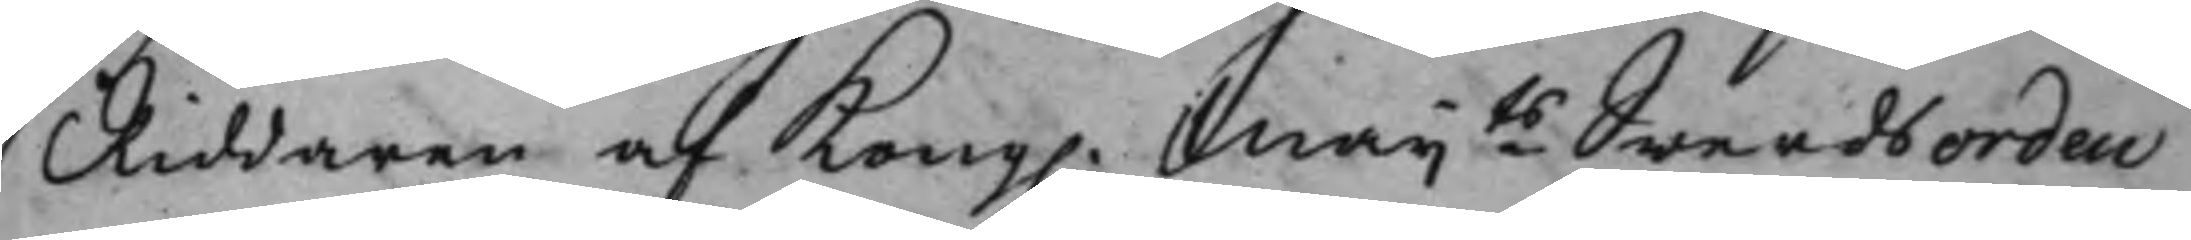Riddaren af Kong. Maijts Swerdsorden
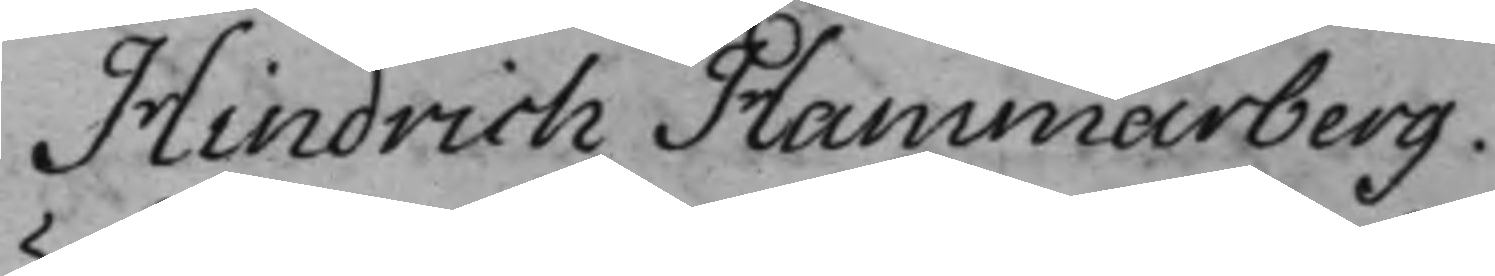Hindrich Hammarberg.
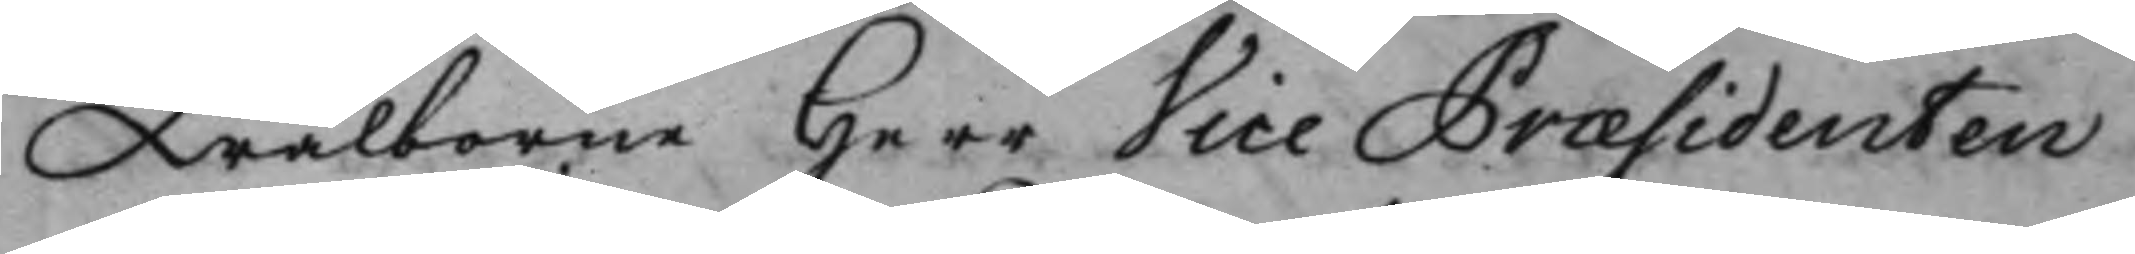Wälborne Herr Vice Præsidenten
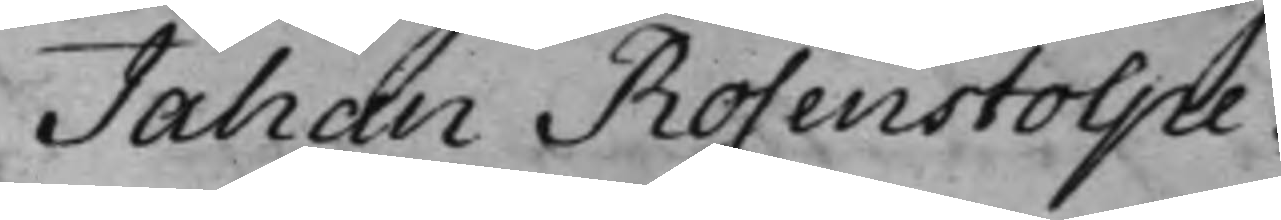Jahan Rosenstolpe.
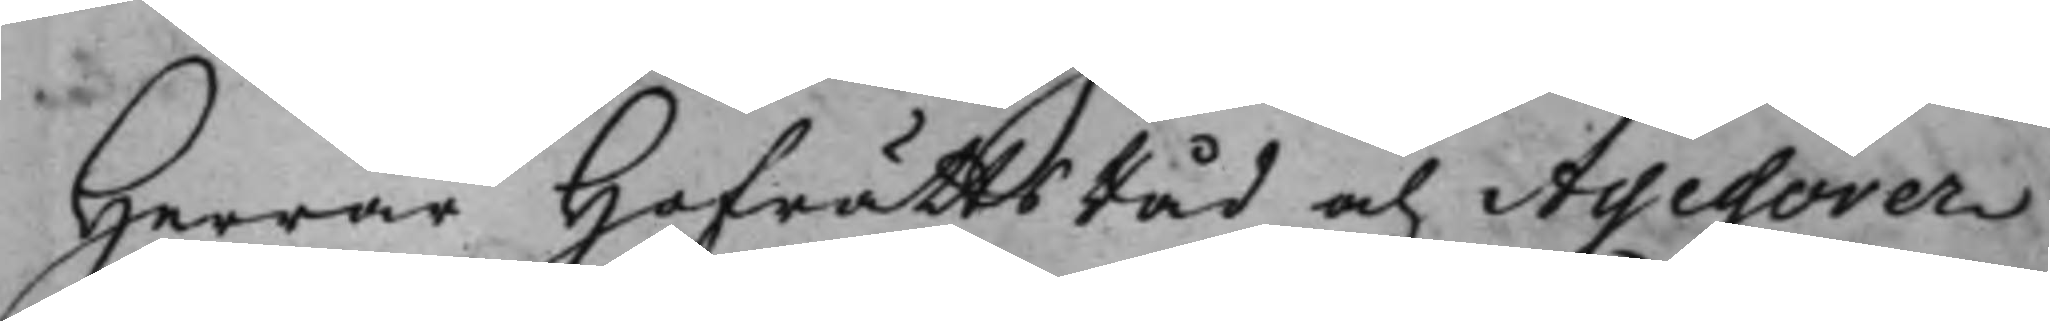Herrar HofrättsRåd och Assessorer
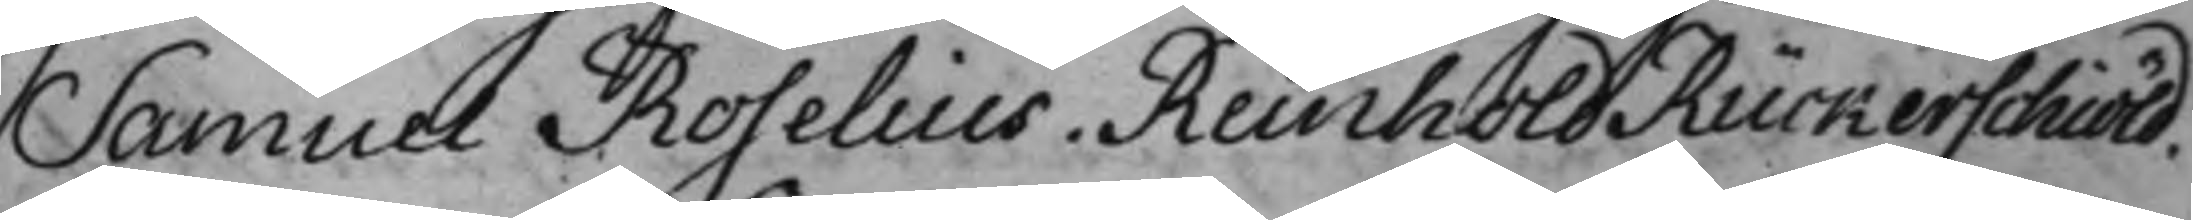Samuel Roselius. Reinhold Rückerschiöld.
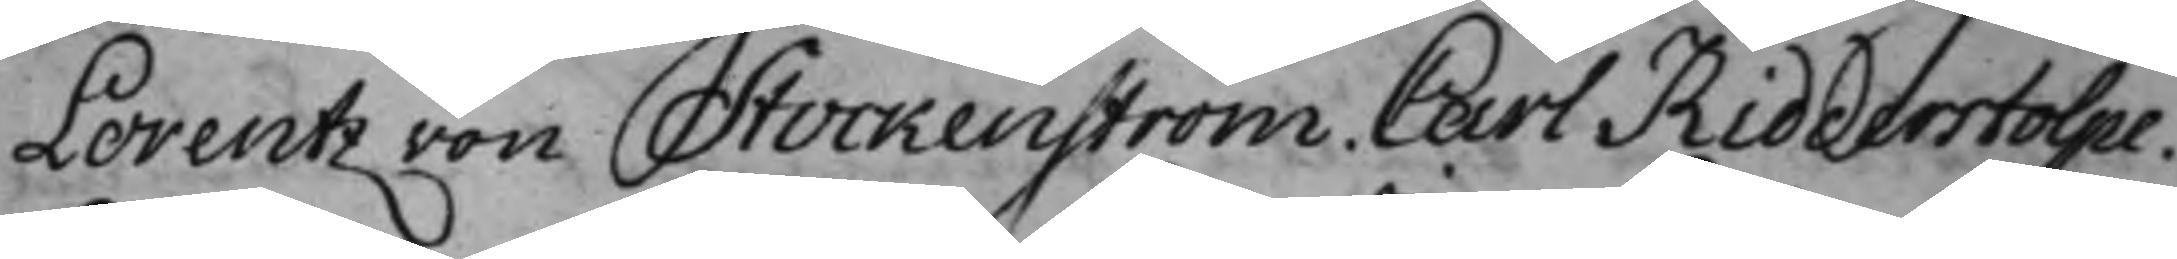Lorentz von Stockenström. Carl Ridderstolpe.
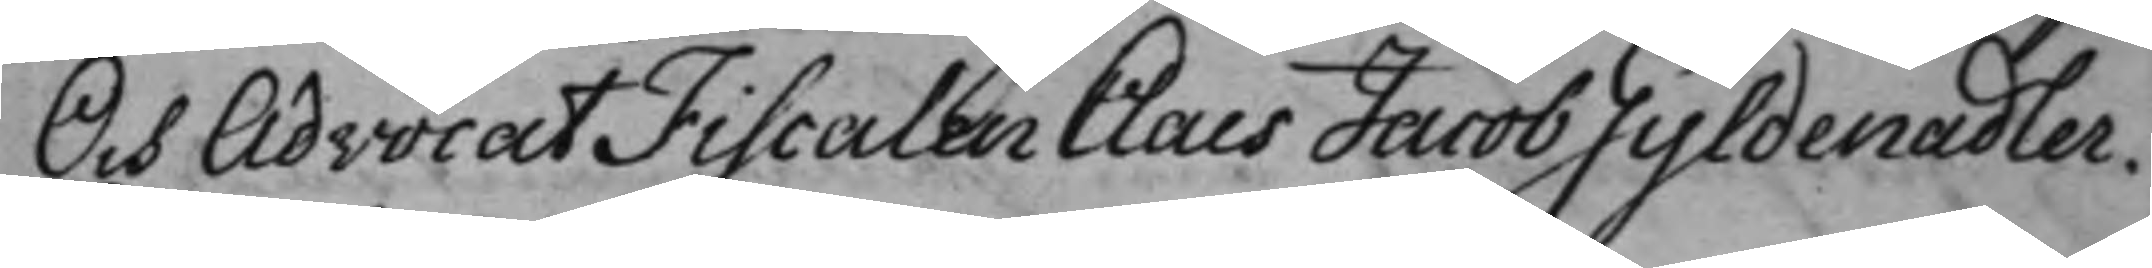Och AdvocatFiscalen Claes Jacob Gyldenadler.
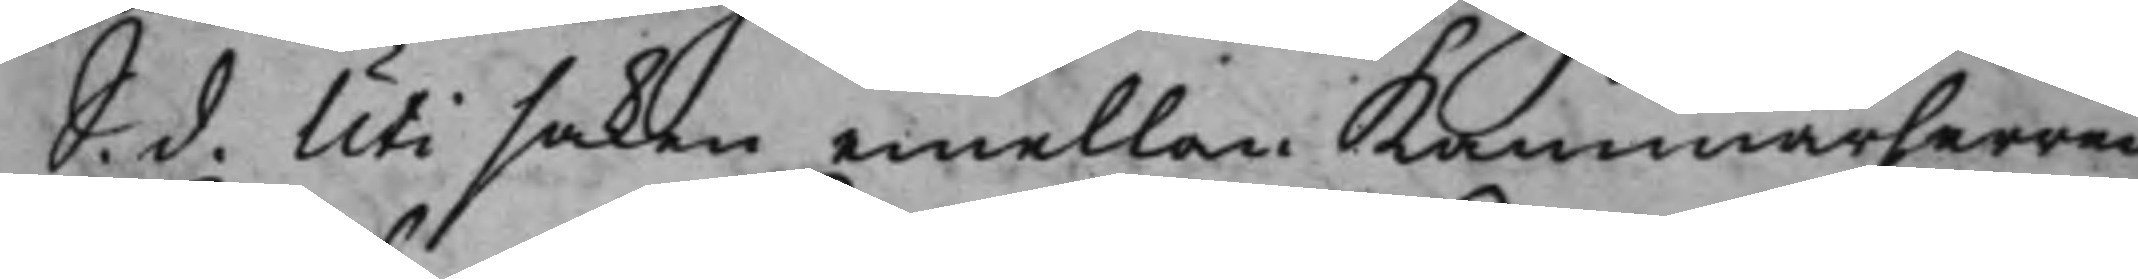S. d. Uti saken emellan kammarherren
